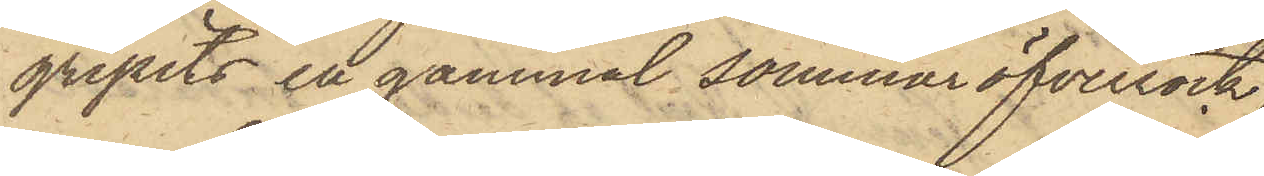gripits en gammal sommaröfverrock,
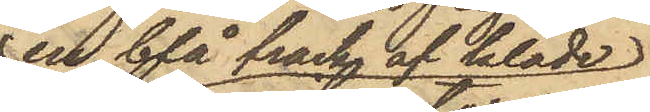en blå frack af kläde
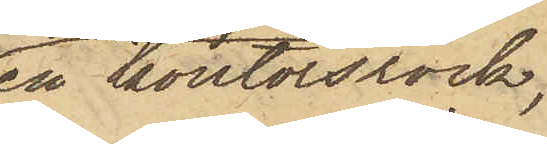en kontorsrock,
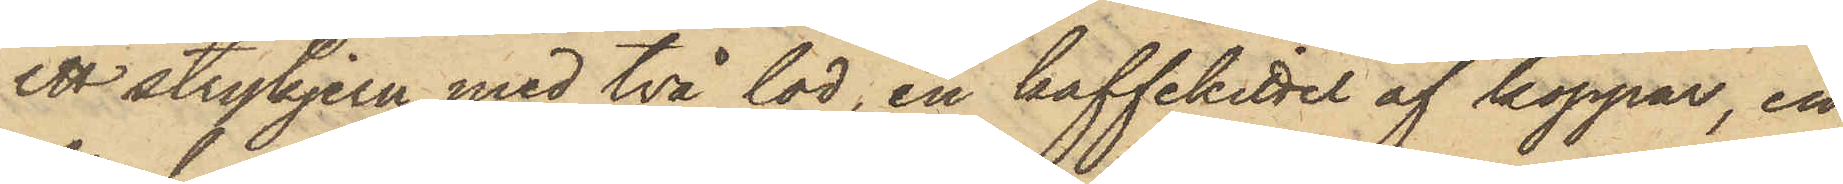ett strykjern med två lod, en kaffekittel af koppar, en
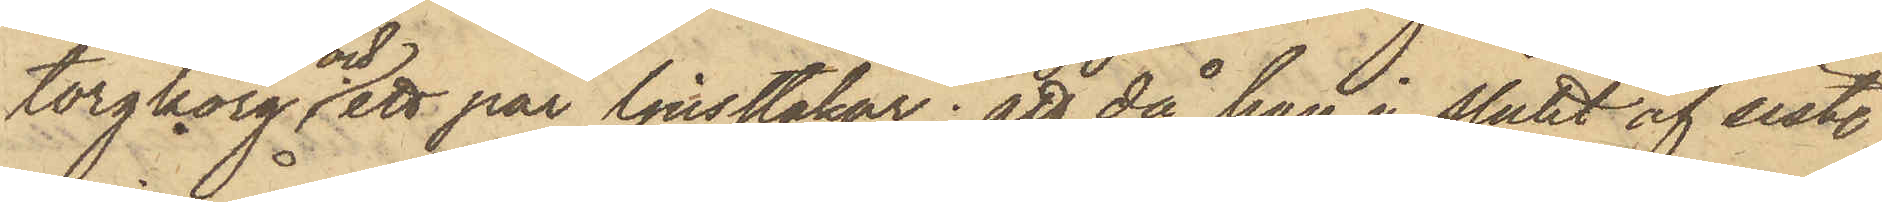torgkorg och ett par ljusstakar; att då han i slutet af sist.
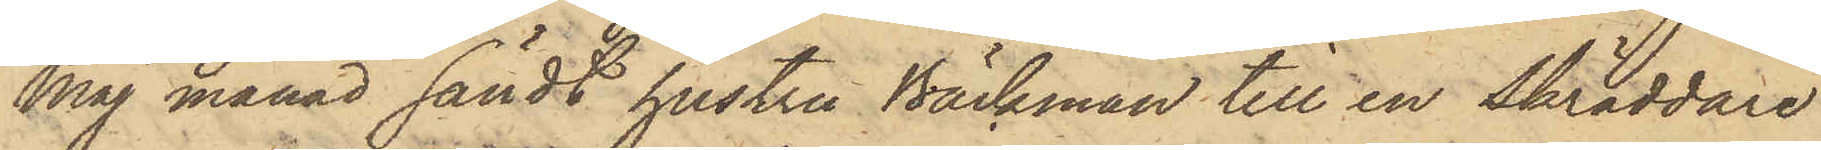Maj månad sändt hustru Bäckman till en skräddare
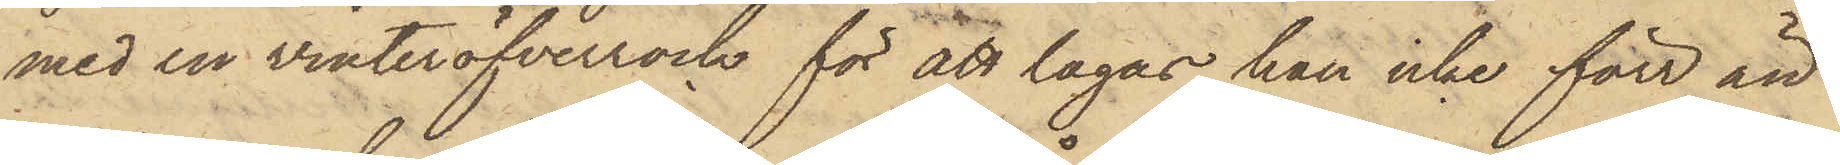med en vinteröfverrock för att lagas, han icke förr än
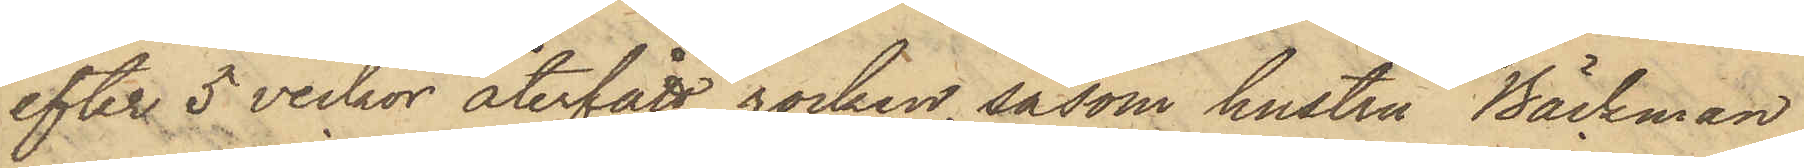efter 5 veckor återfått rocken, såsom hustru Bäckman
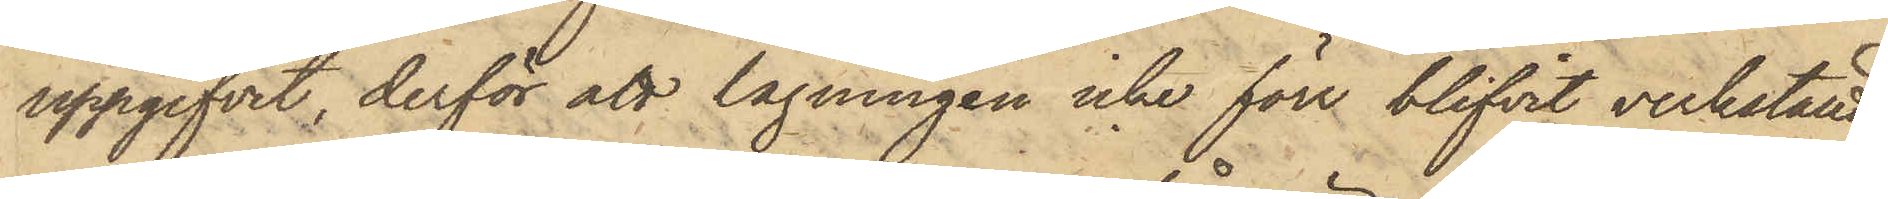uppgifvit, derför att lagningen icke förr blifvit verkstäld,
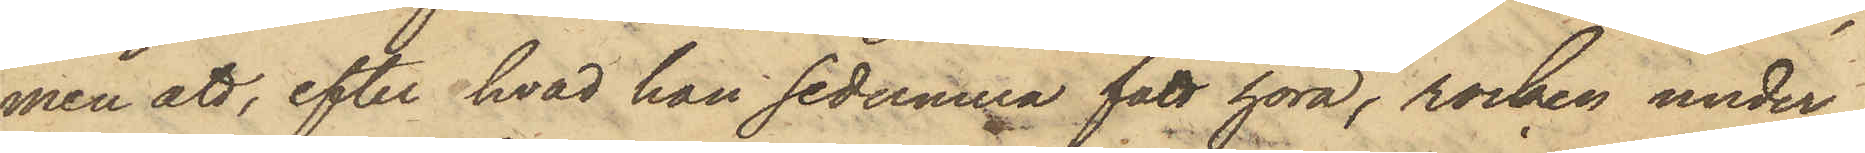men att, efter hvad han sedermera fått höra, rocken under
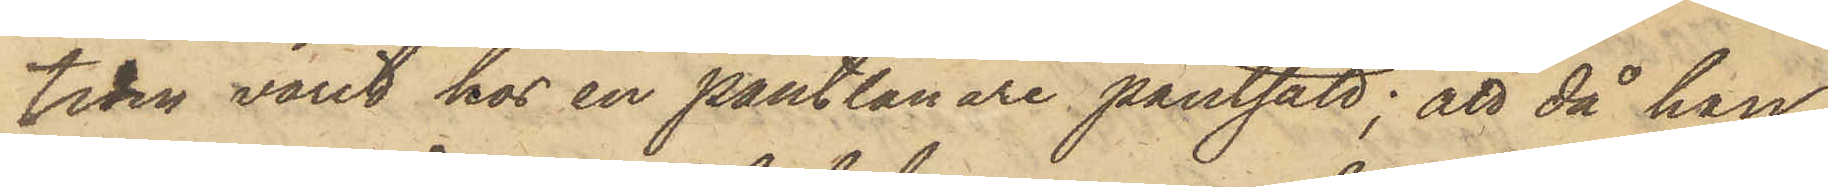tiden varit hos en pantlånare pantsatt; att då han
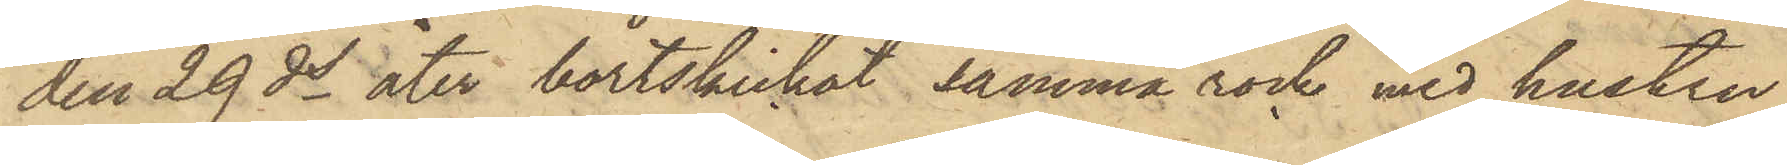den 29 ds åter bortskickat samma rock med hustru
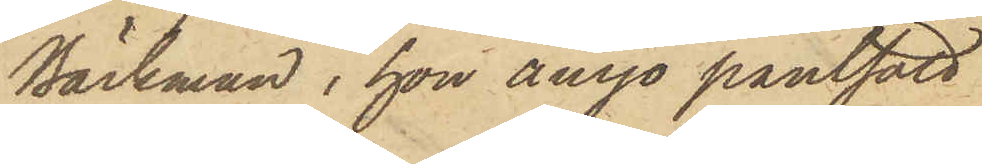Bäckman, hon ånyo pantsatt
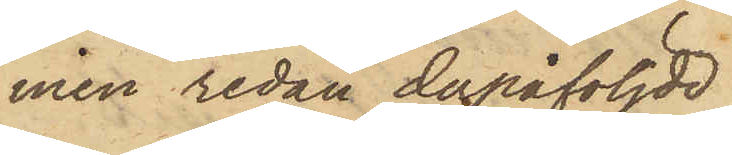men redan derpåföljde
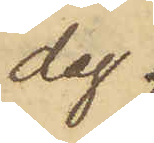dag
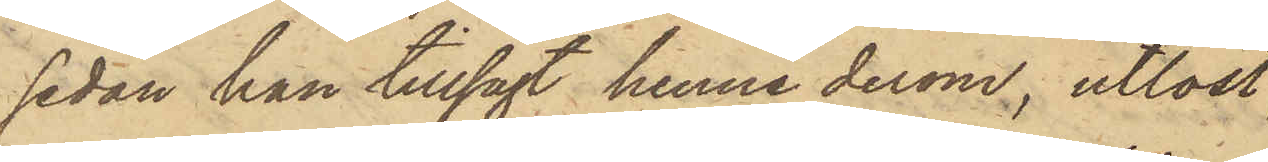sedan han tillsagt henne derom, utlöst
